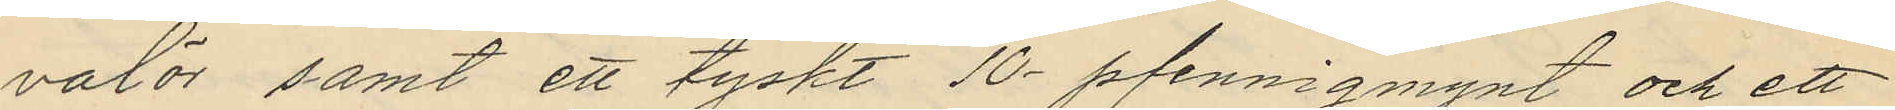valör samt ett tyskt 10-pfennigmynt och ett
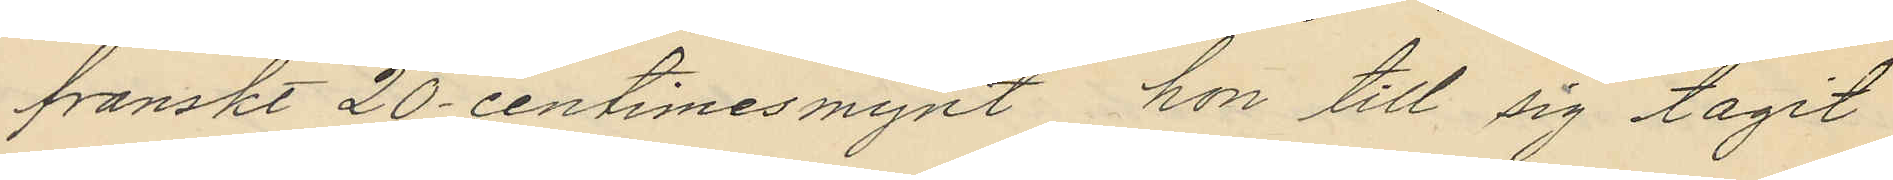franskt 20-centimesmynt hon till sig tagit
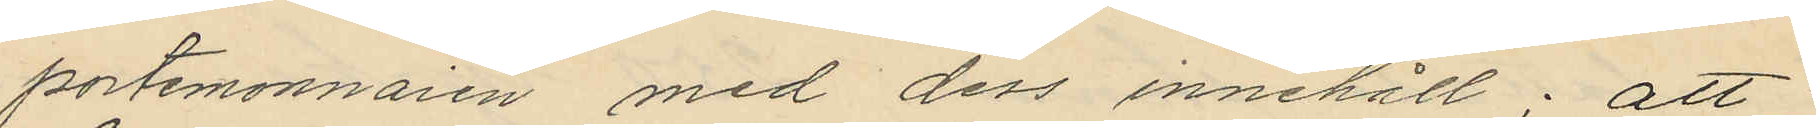portemonnaien med dess innehåll; att
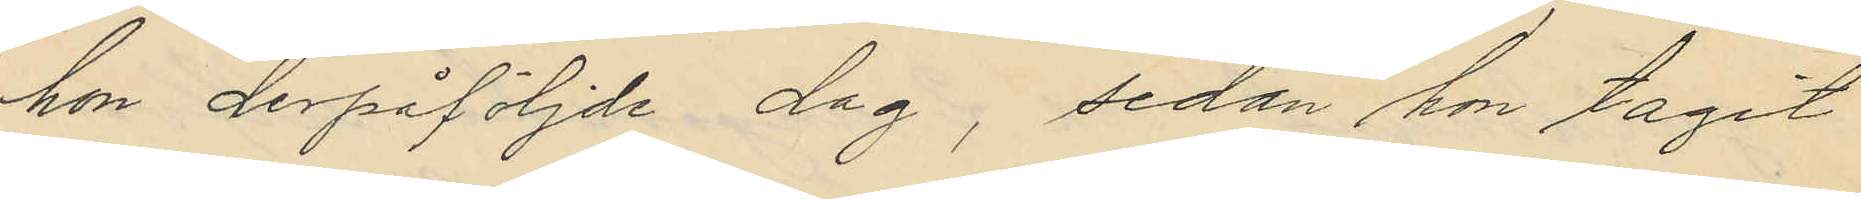hon derpåföljde dag, sedan hon tagit
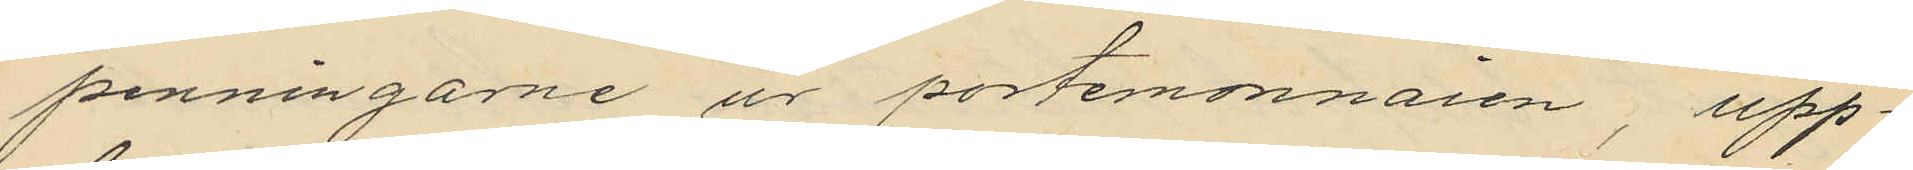penningarne ur portemonnaien, upp¬
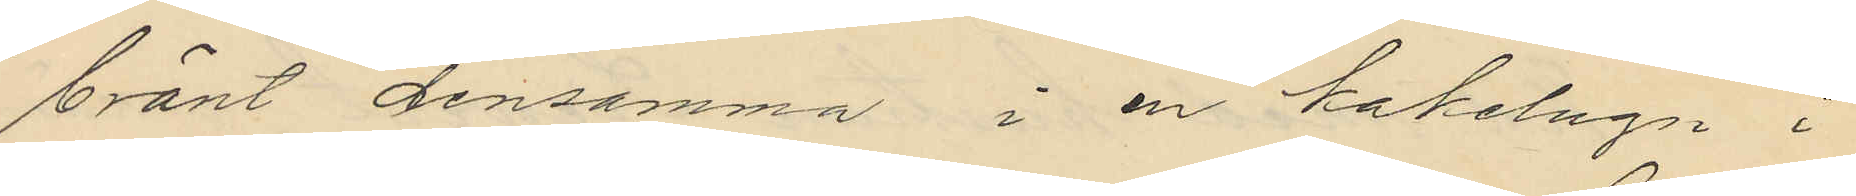bränt densamma i en kakelugn i
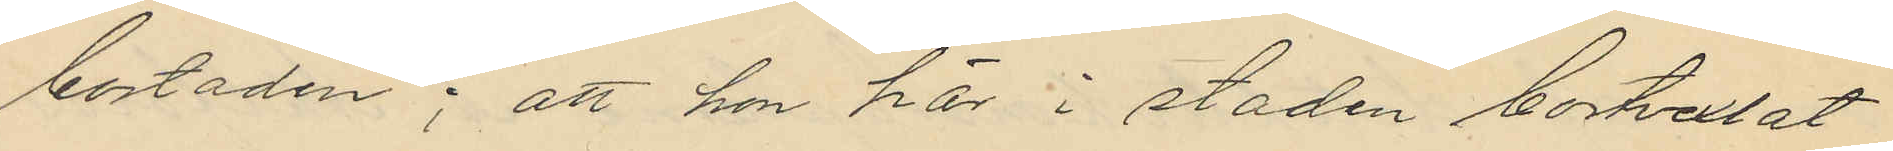bostaden; att hon här i staden bortvexlat
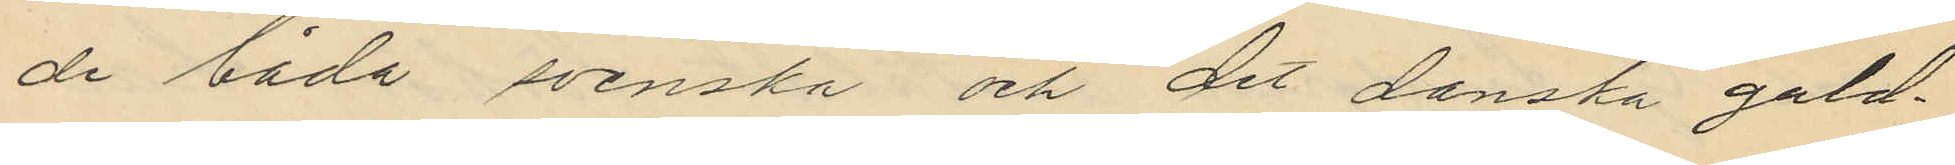de båda svenska och det danska guld¬
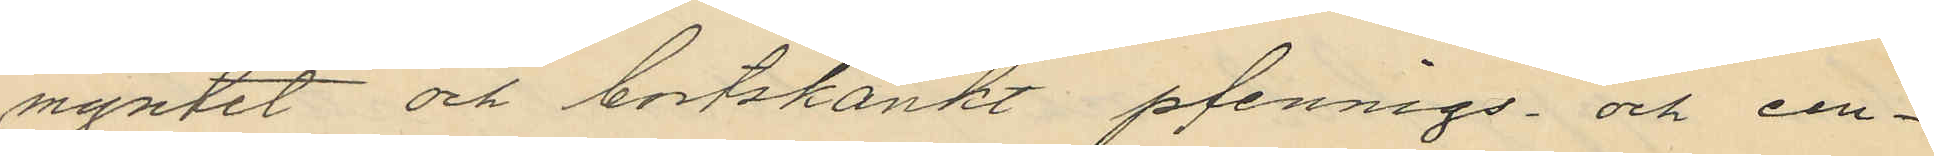myntet och bortskänkt pfennigs- och cen¬
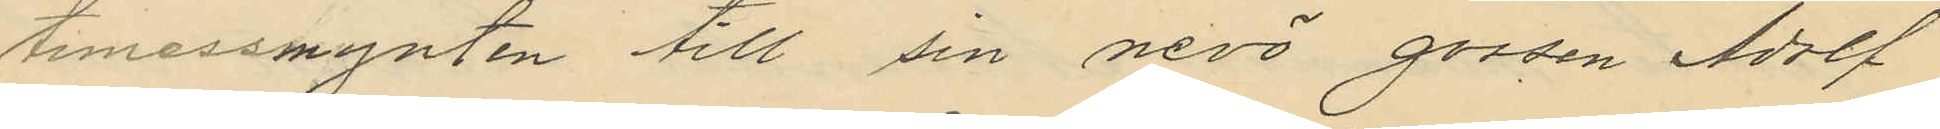timessmynten till sin nevö gossen Adolf
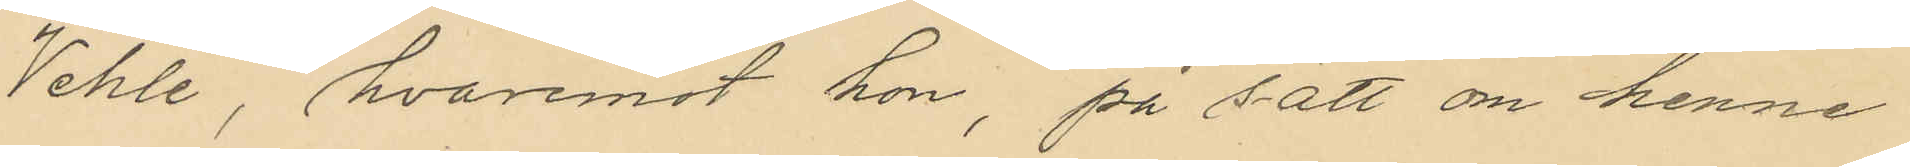Vehle, hvaremot hon, på sätt om henne
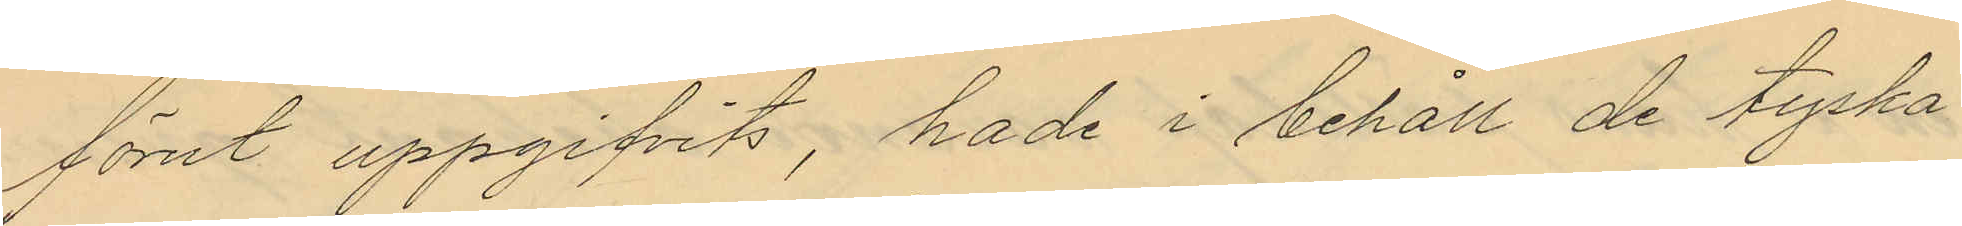förut uppgifvits, hade i behåll de tyska
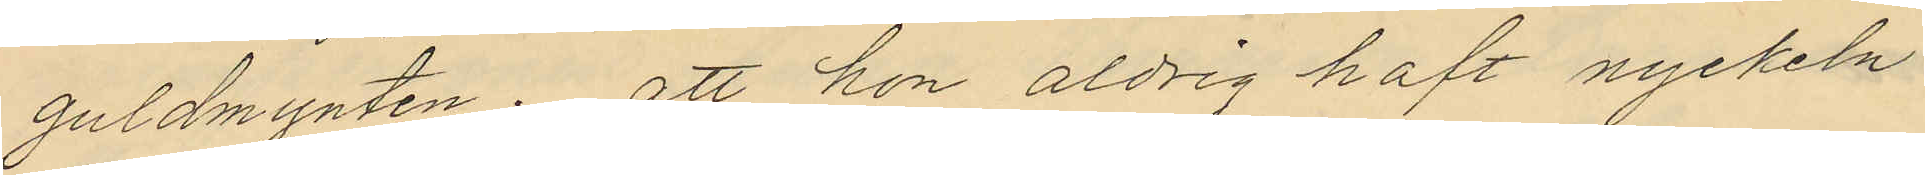guldmynten; att hon aldrig haft nyckeln
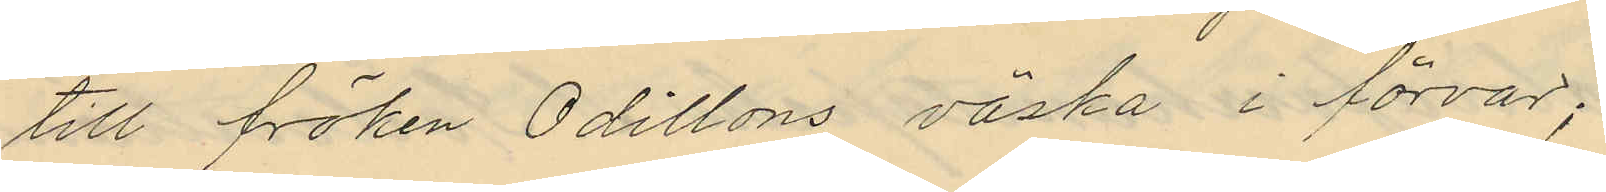till fröken Odillons väska i förvar;
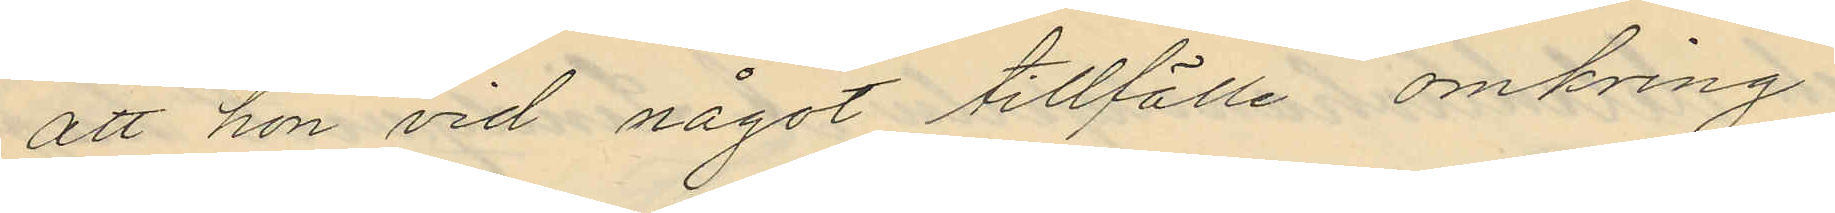att hon vid något tillfälle omkring
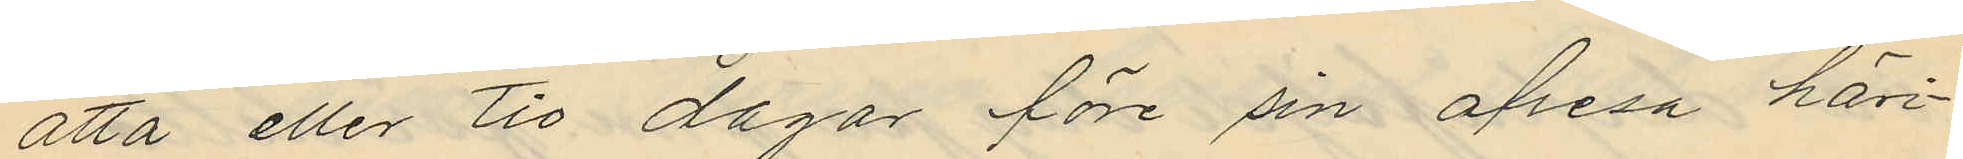åtta eller tio dagar före sin afresa häri¬
